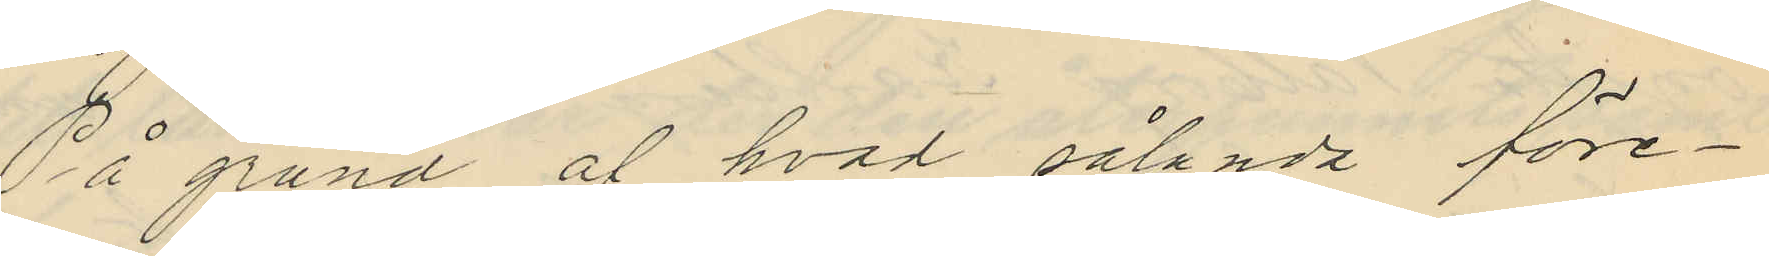På grund af hvad sålunda före¬
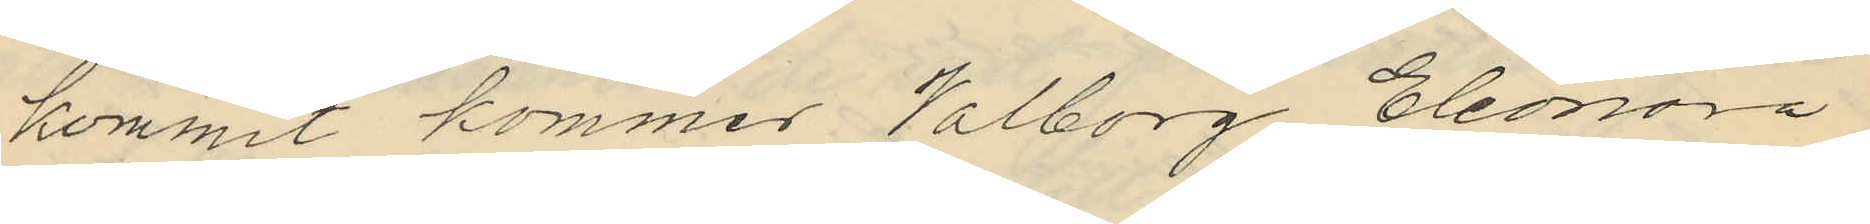kommit kommer Valborg Eleonora
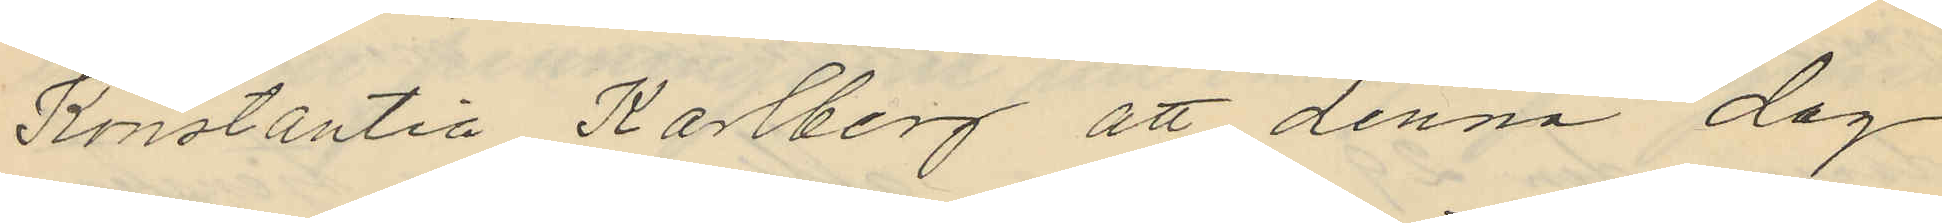Konstantia Karlberg att denna dag
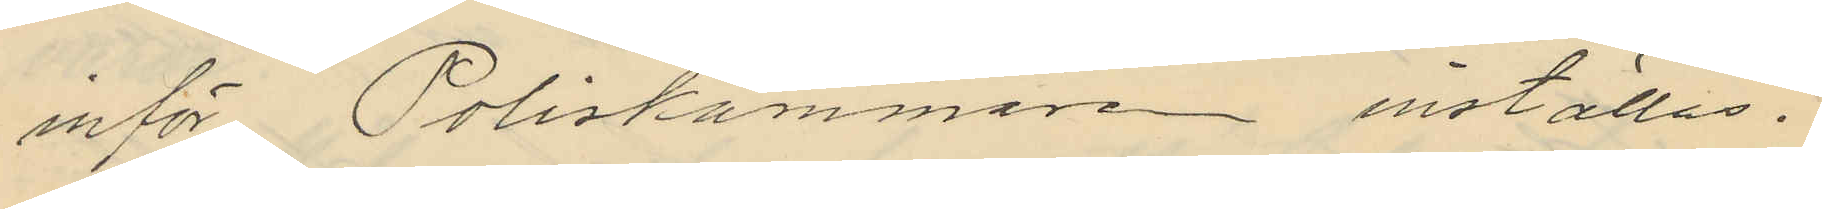inför Poliskammare inställas.
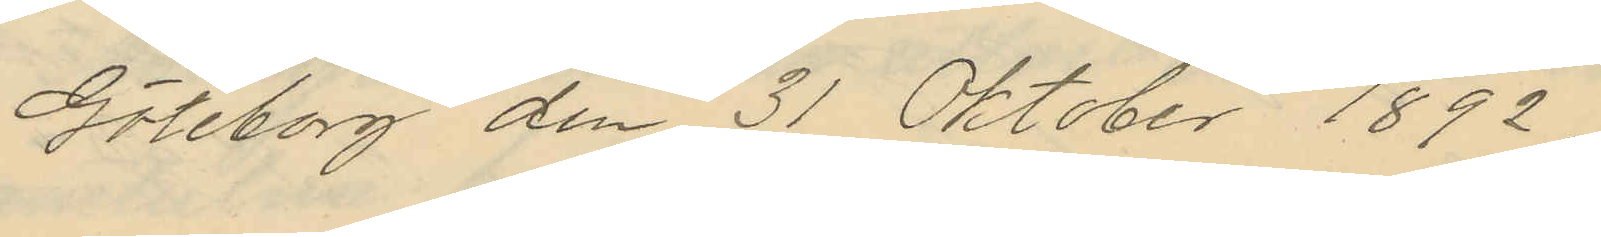Göteborg den 31 Oktober 1892.
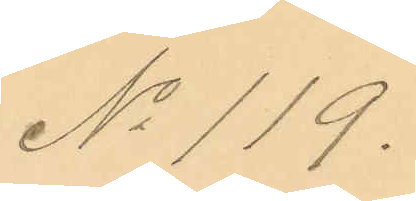No 119.
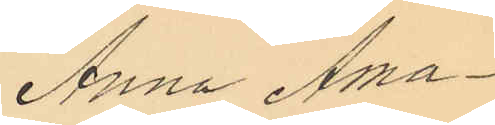Anna Ama¬
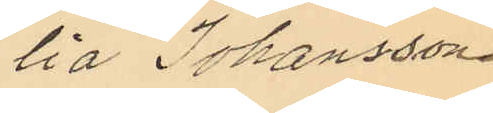lia Johansson.
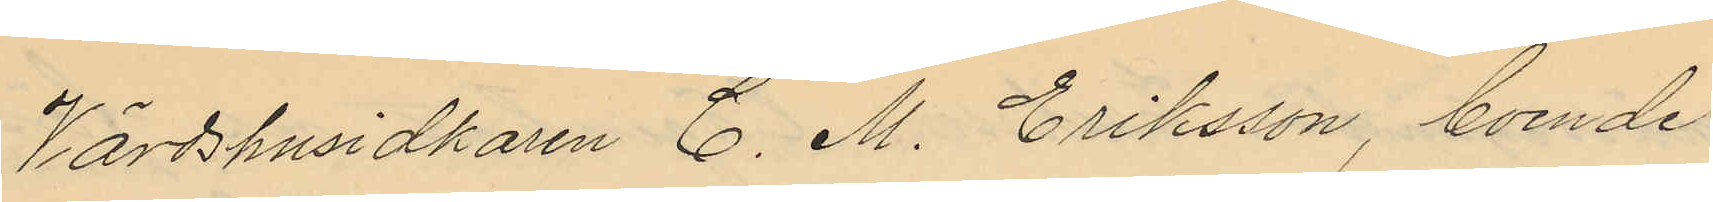Värdshusidkaren C. M. Eriksson, boende
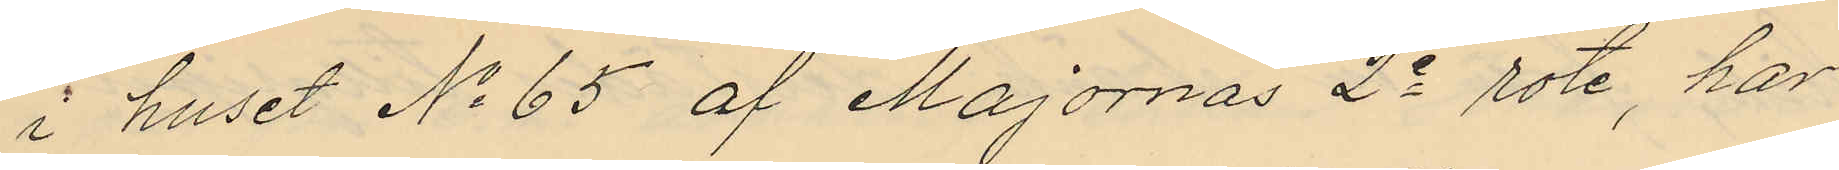i huset No 65 af Majornas 2e rote, har
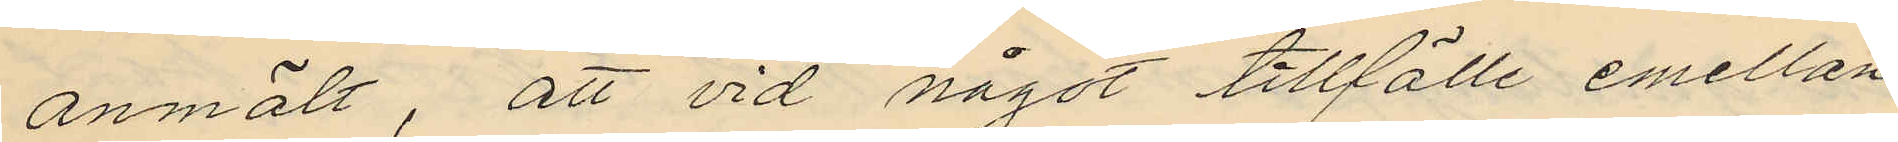anmält, att vid något tillfälle emellan
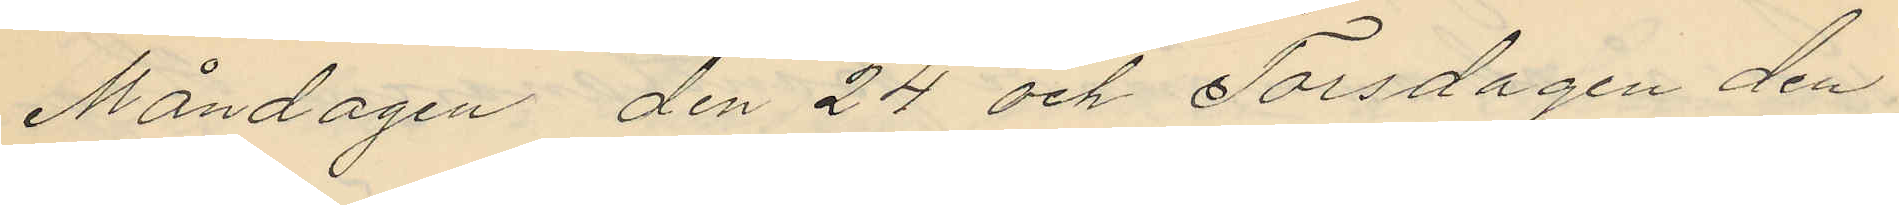Måndagen den 24 och Torsdagen den
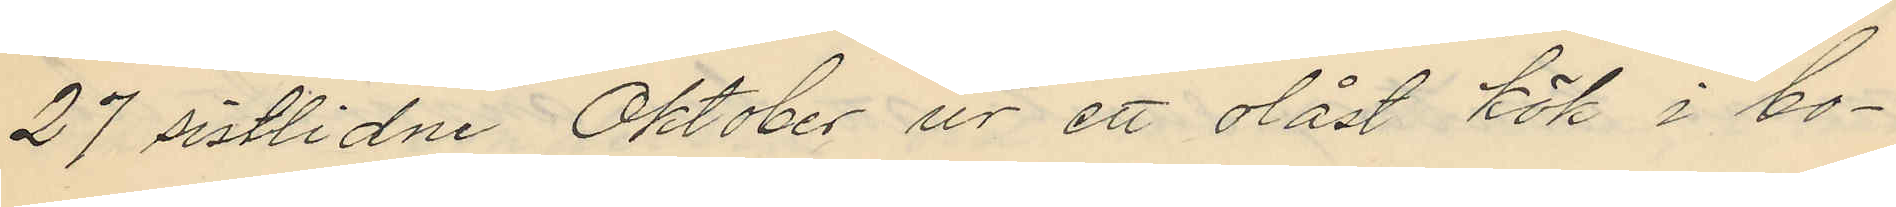27 sistlidne Oktober ur ett olåst kök i bo¬
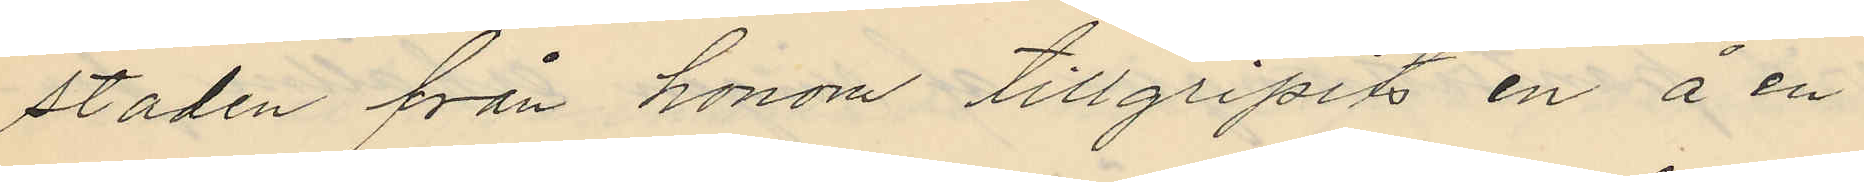staden från honom tillgripits en å en
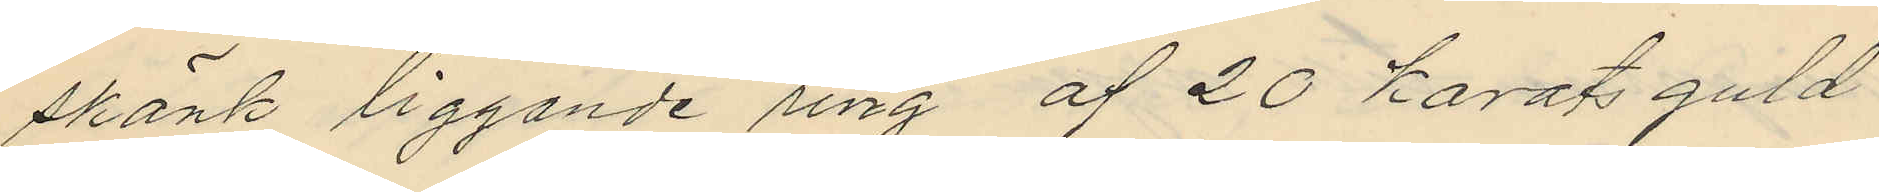skänk liggande ring af 20 karats guld
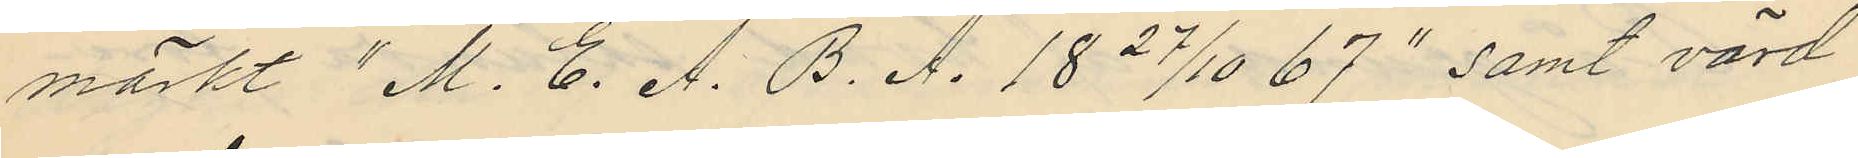märkt "M. E. A. B. A. 18 27/10 67" samt värd
